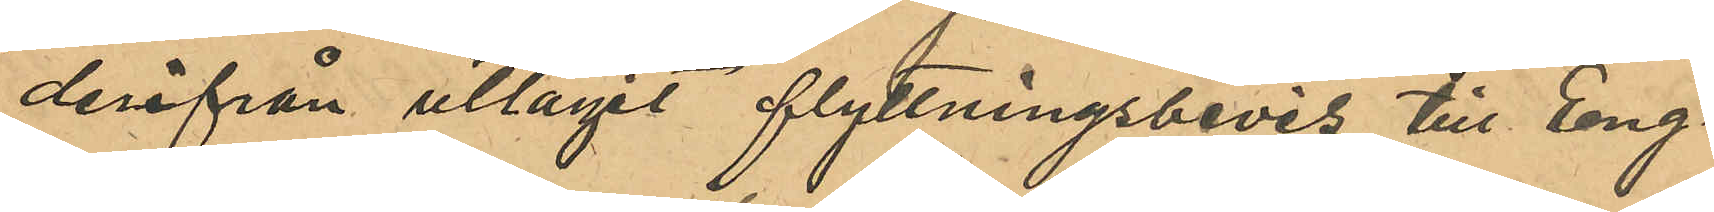derifrån uttagit flyttningsbevis till Eng¬
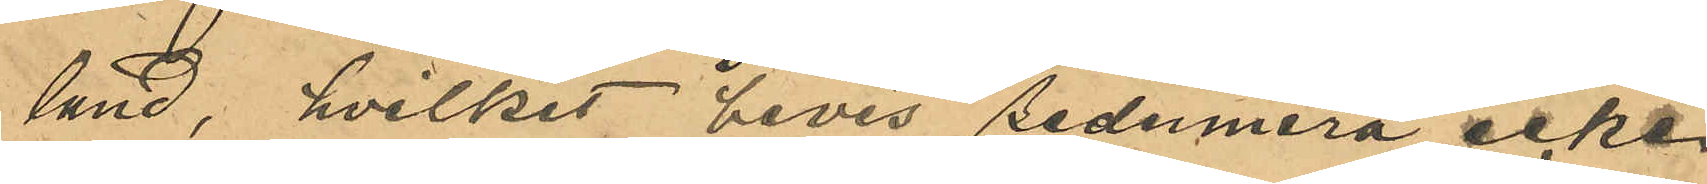land, hvilket bevis sedermera icke
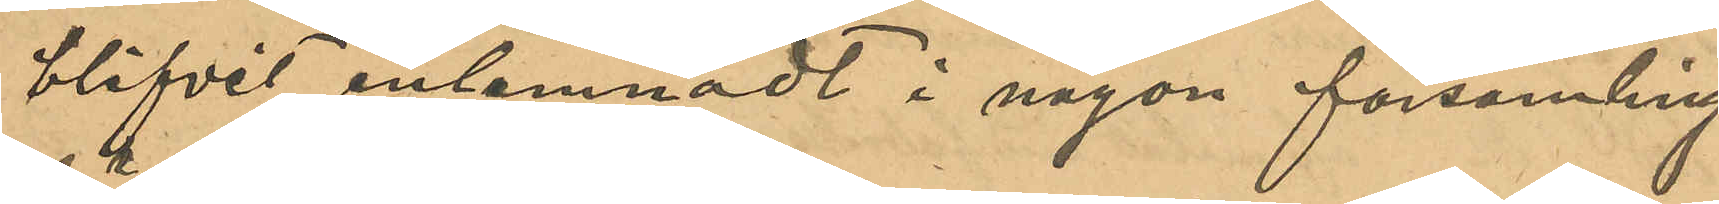blifvit inlemnadt i någon församling 
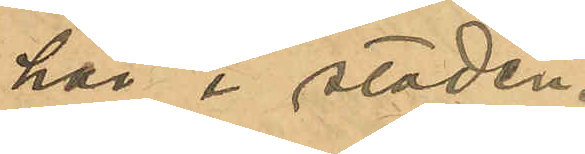här i staden.
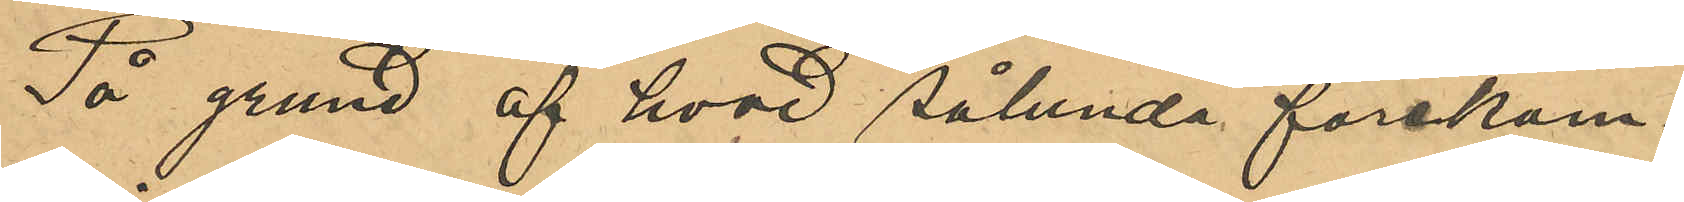På grund af hvad sålunda förekom¬
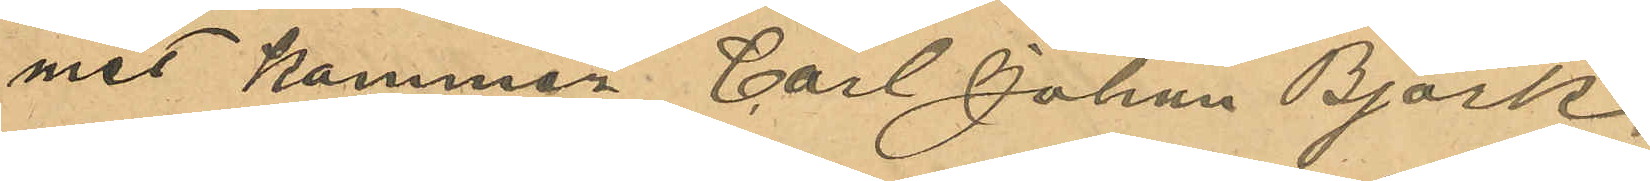mit kommer Carl Johan Björk
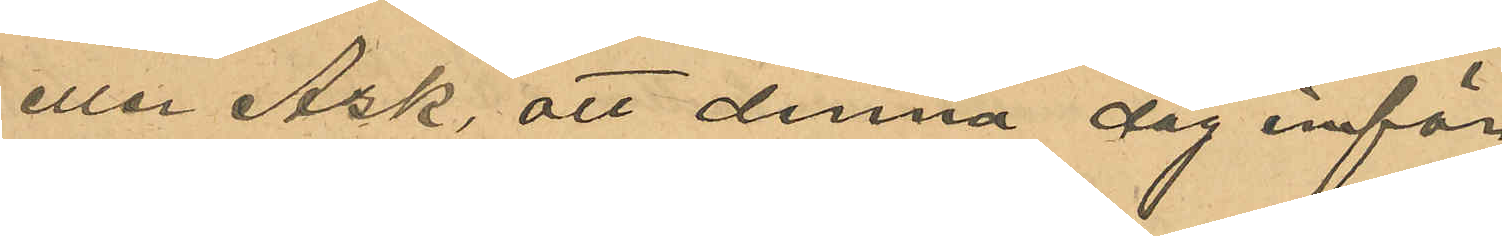eller Ask, att denna dag inför
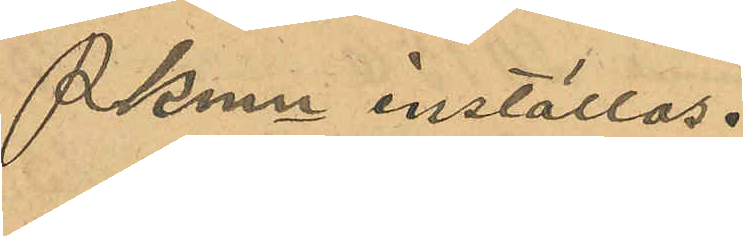PKmn inställas.
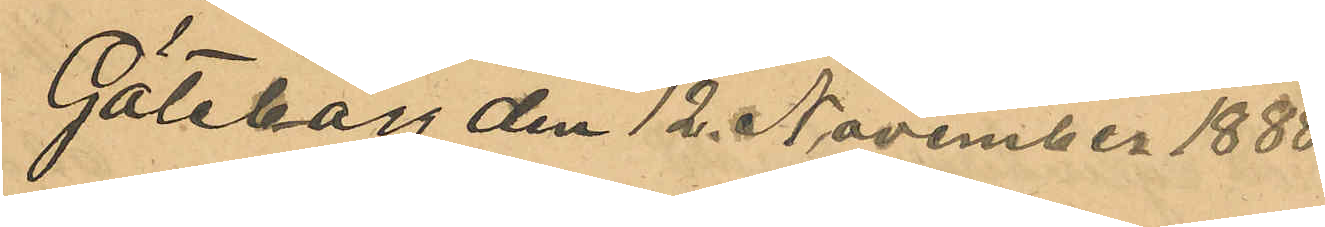Göteborg den 12 November 1888.
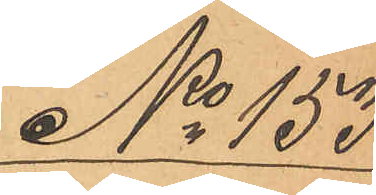No 153
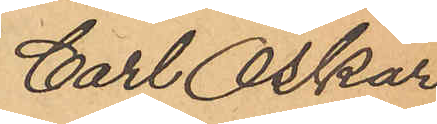Carl Oskar
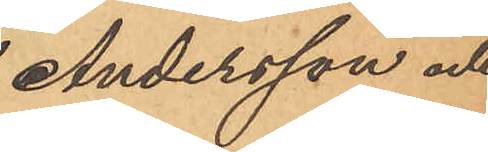Andersson och
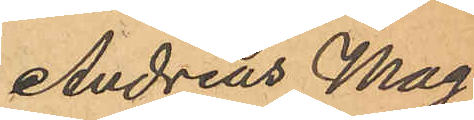Andreas Mag¬
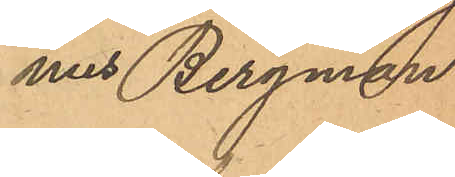nus Bergman.
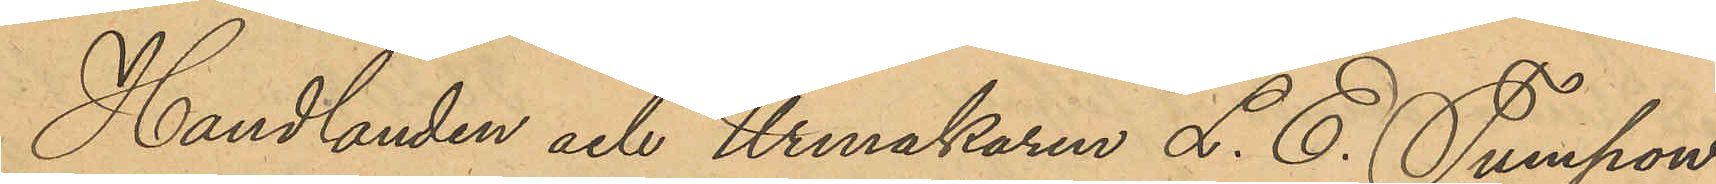Handlanden och Urmakaren L. E. Tumpow¬
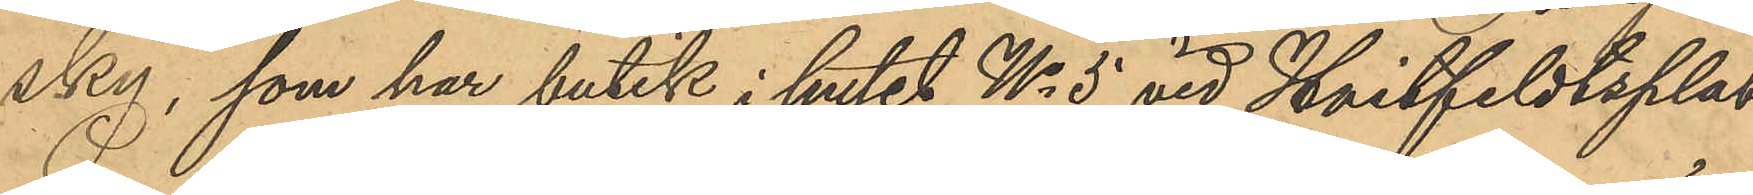sky, som har butik i huset No 5 vid Hvitfeldtsplat¬
